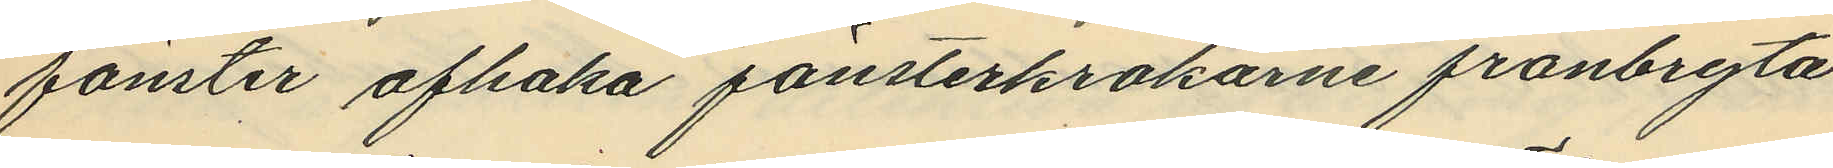fönster afhaka fönsterkrokarne frånbryta
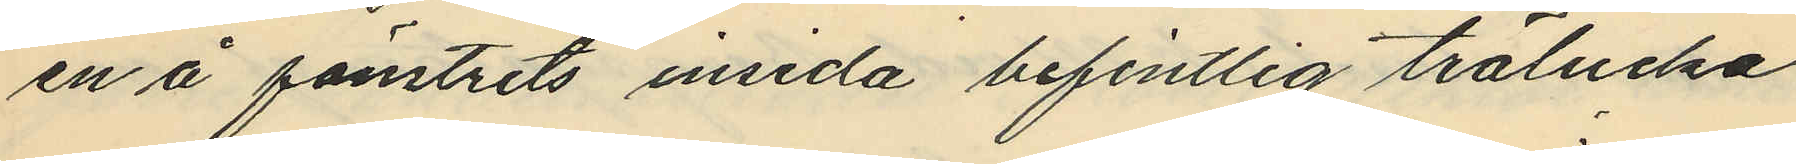en å fönstrets insida befintlig trälucka
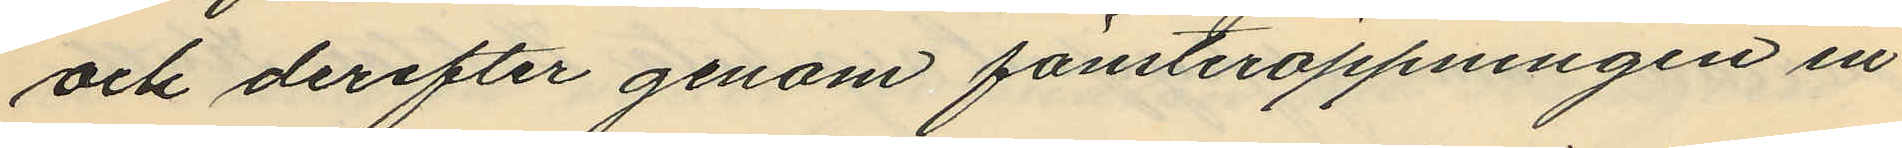och derefter genom fönsteröppningen in¬
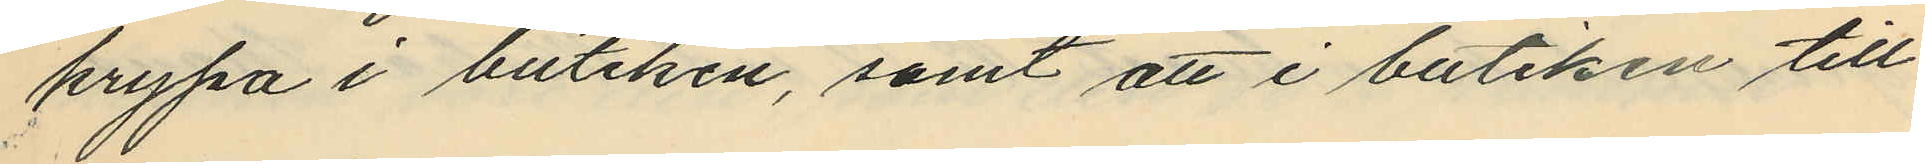krypa i butiken, samt att i butiken till¬
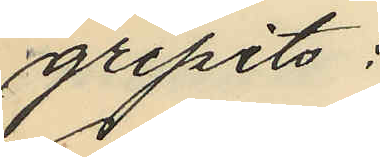gripits:
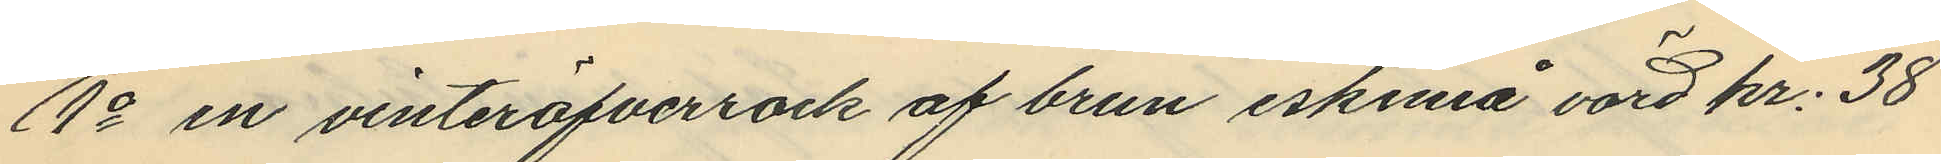1o en vinteröfverrock af brun eskimå värd kr. 38
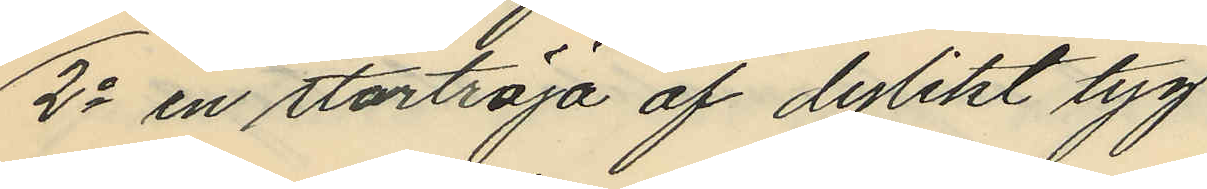2o en stortröja af dylikt tyg
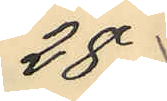28
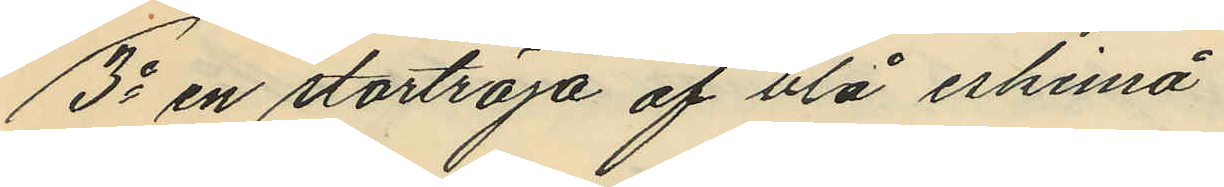3o en stortröja af blå eskimå
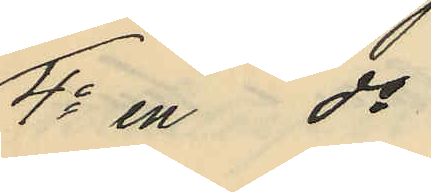4o en do af
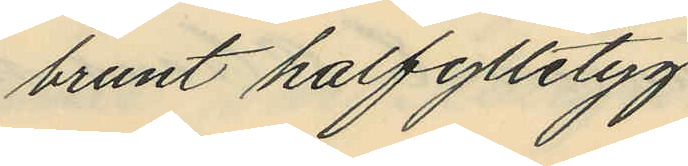brunt halfylletyg
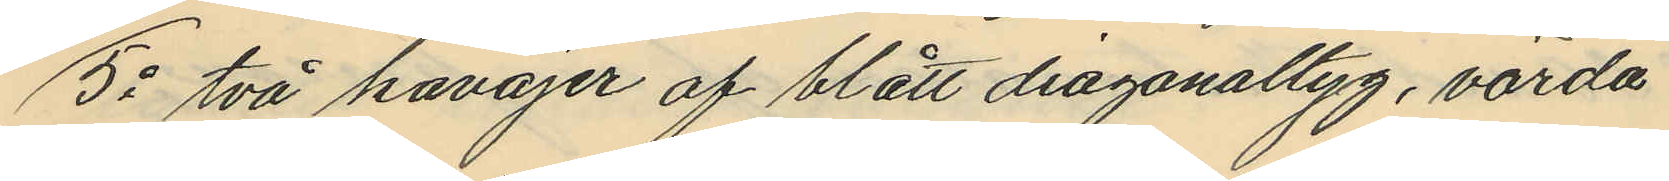5o två kavajer af blått diagonaltyg, värda
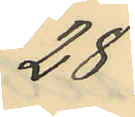28
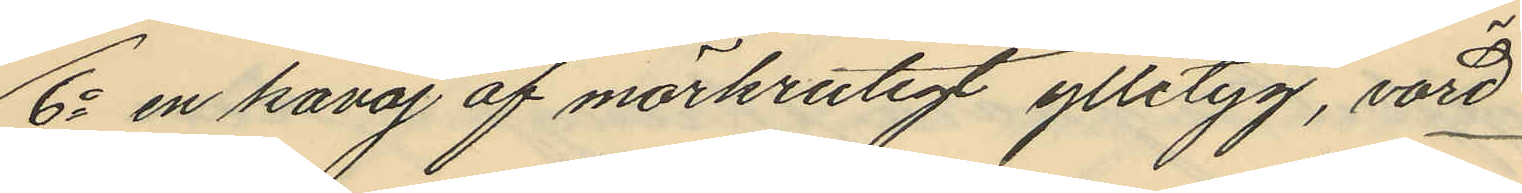6o en kavaj af mörkrutigt ylletyg, värd
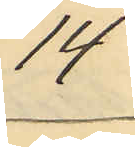14
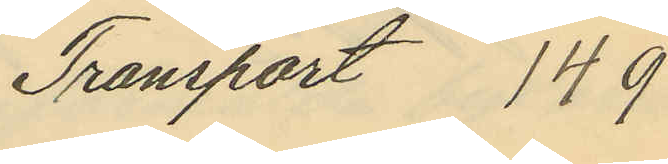Transport 149
